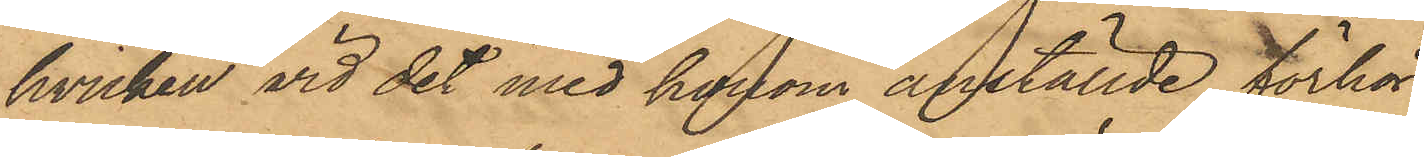hvilken vid det med honom anställde förhör
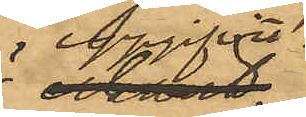uppgifvit
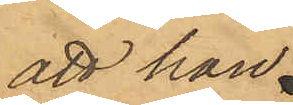att han.
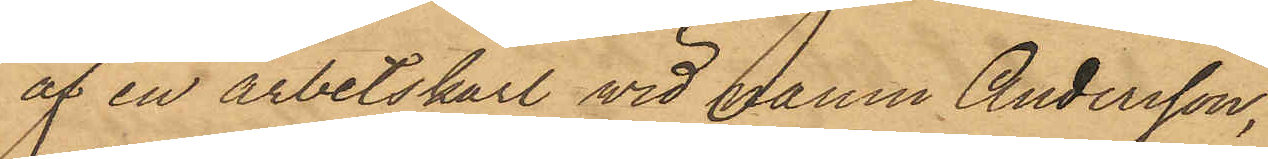af en arbetskarl wid namn Andersson,
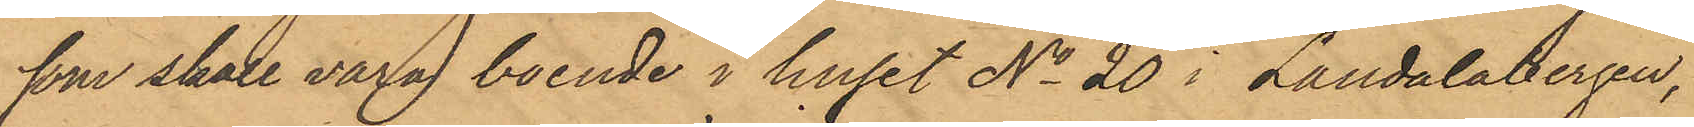som skall vara boende i huset No 20 i Landalabergen,
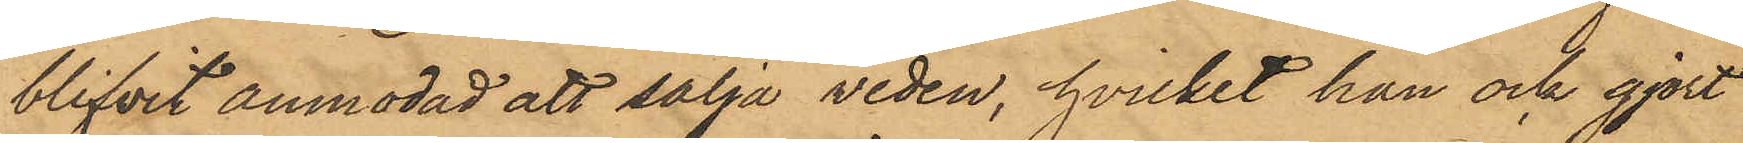blifvit anmodad att sälja veden, hvilket han ock gjort
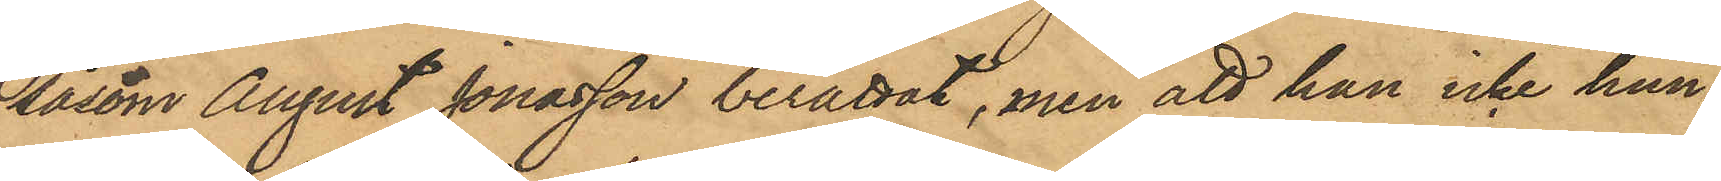såsom August Jonasson berättat, men att han icke hun¬
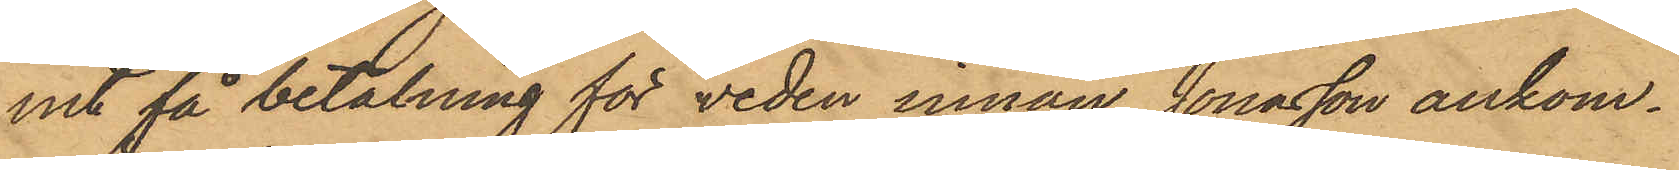it få betalning för veden innan Jonasson ankom¬
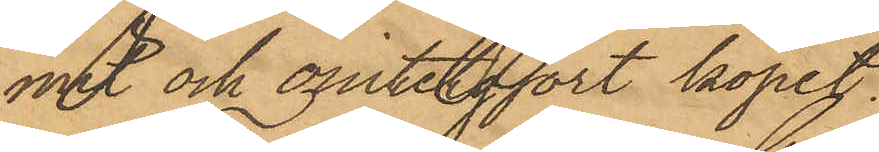mit och omintetgjort köpet.
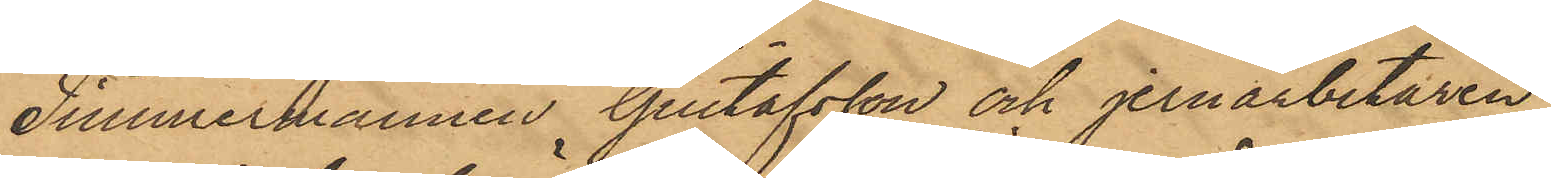Timmermannen Gustafsson och jernarbetaren
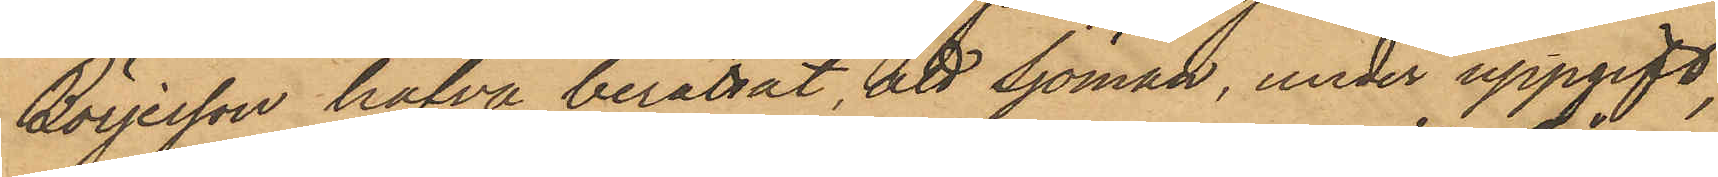Börjesson hafva berättat, att Sjöman, under uppgift,
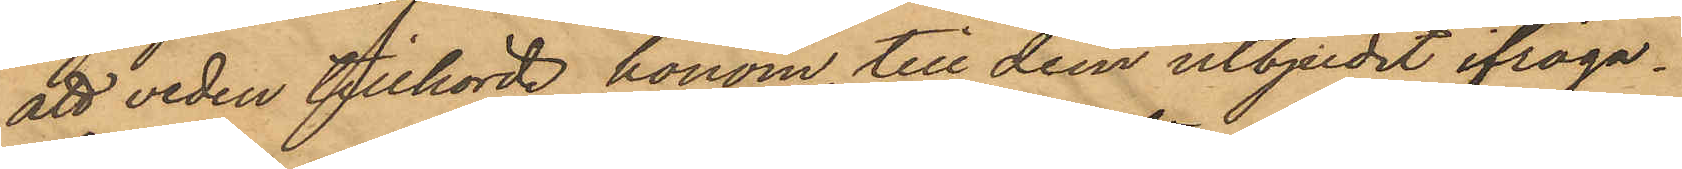att veden tillhörde honom, till dem utbjudit ifråga¬
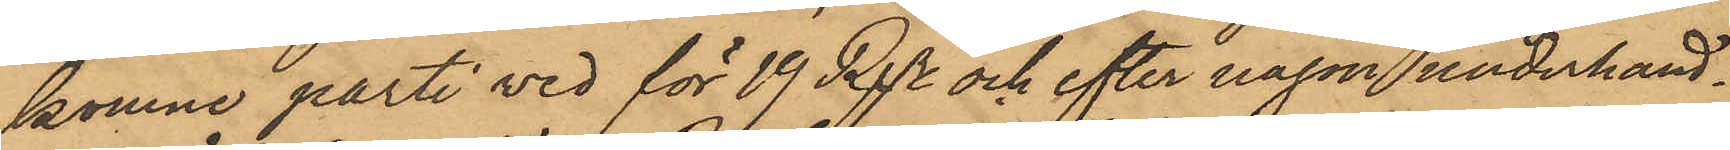komne parti ved för 19 Rdr och efter någon underhand¬
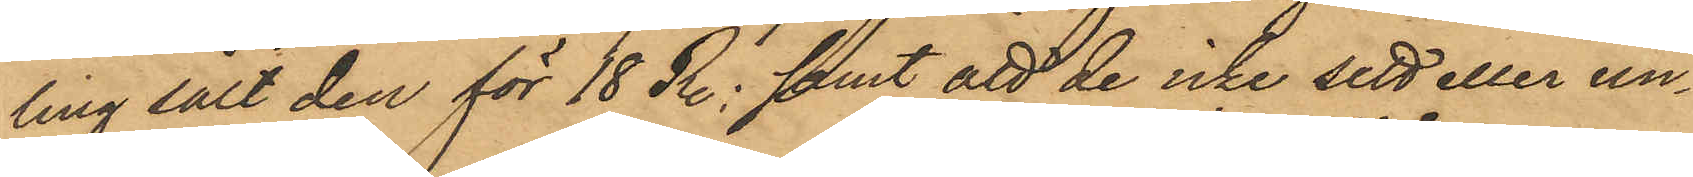ling sålt den för 18 Rdr; samt att de icke sett eller un¬
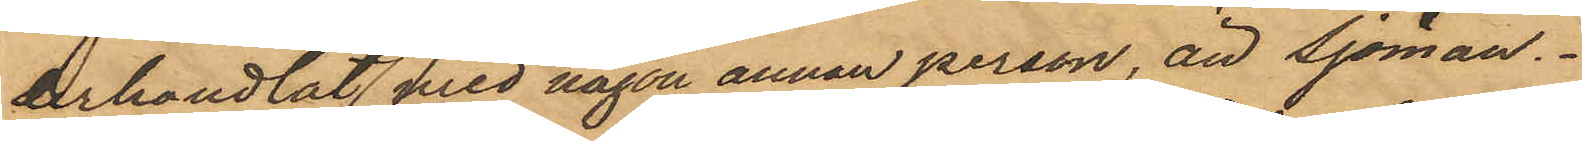derhandlat med någon annan person än Sjöman.
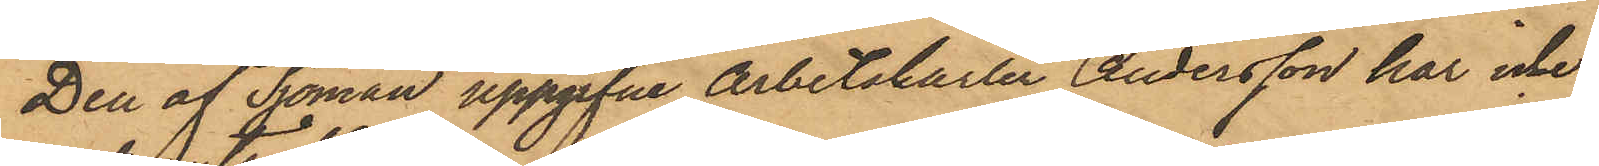Den af Sjöman uppgifne Arbetskarlen Andersson har icke
